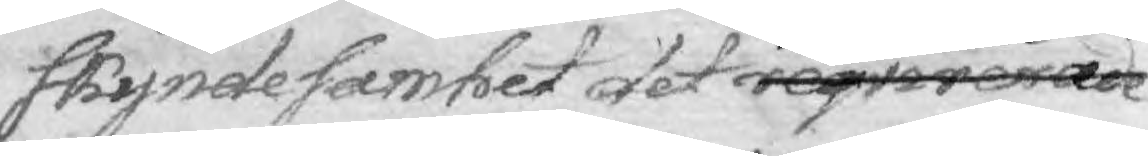skyndesamhet det reqvirerade
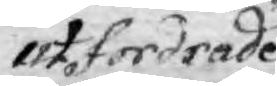utfordrade
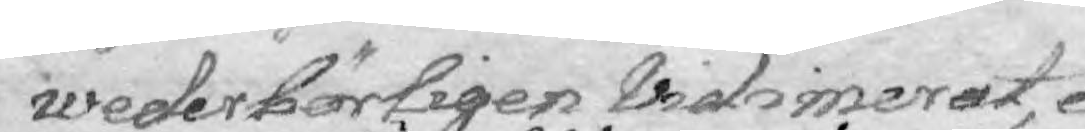wederbörligen Vidimerat, e¬
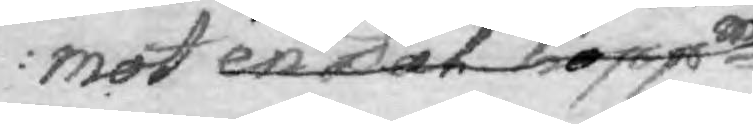mot en Dal Koppmts
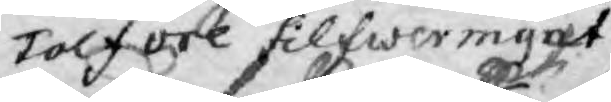Tolf öre Silfwermynt
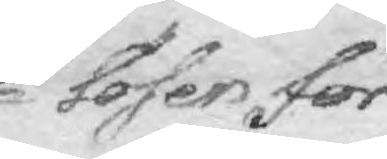lösen för
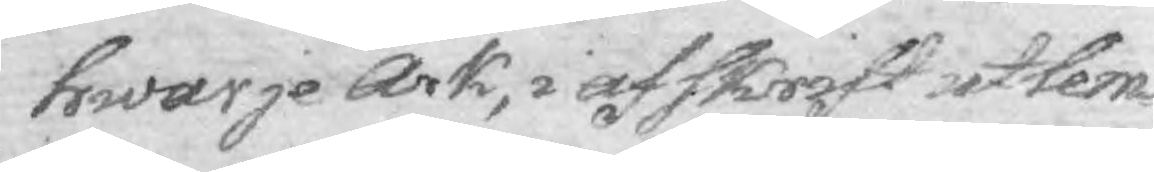hwarje Ark, i afskrift utlem¬
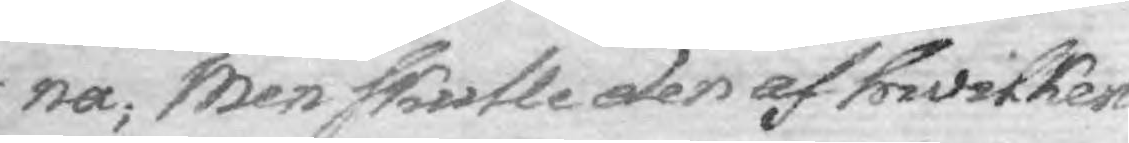na; Men skulle den af hwilken
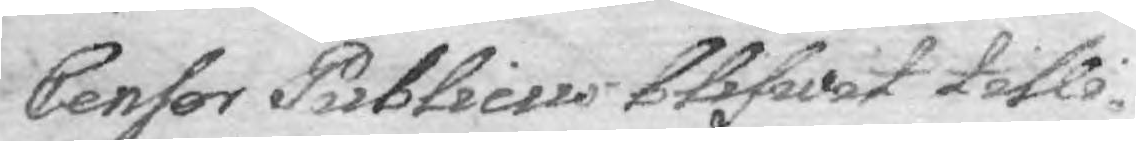Censor Piblicus blifwit tilli¬
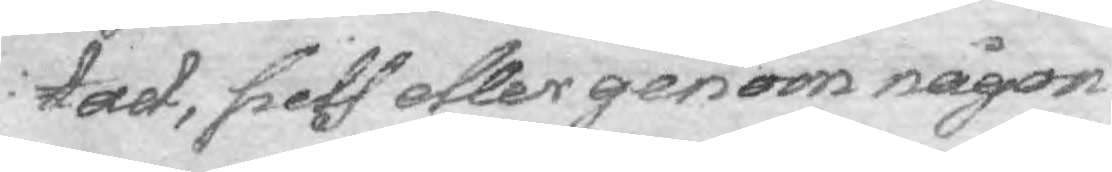tad, sielf eller genom någon
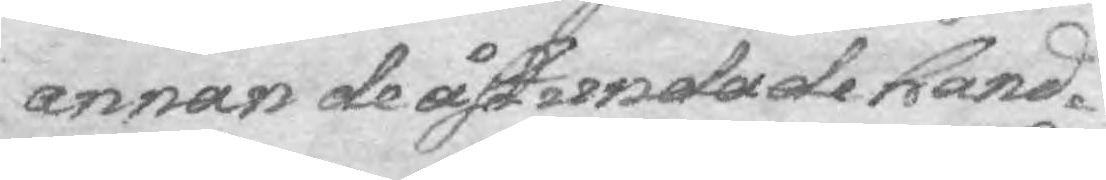annan de åstundade hand¬
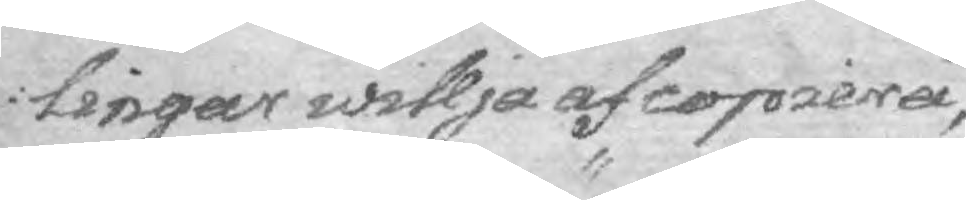lingar willja af copiera,
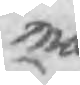må
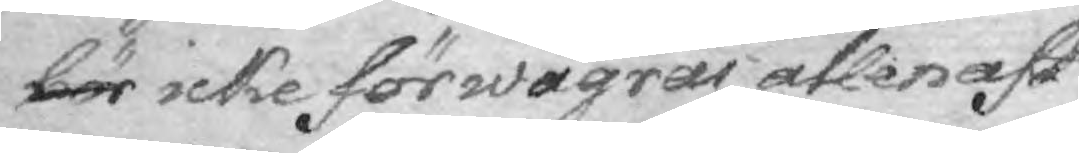bör icke förwägras allenast
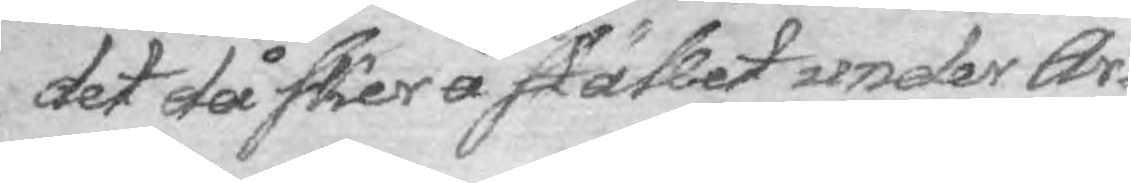det då sker å stället under Ar¬
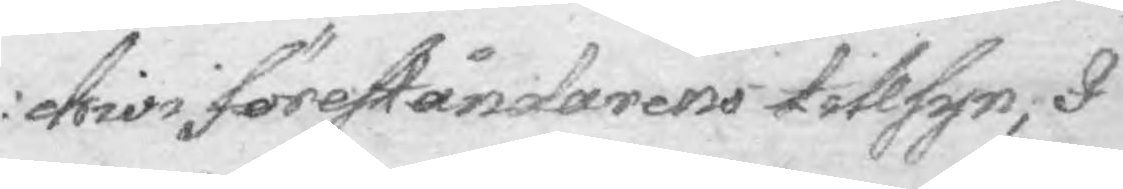chivi föreståndarens tillsyn; I
